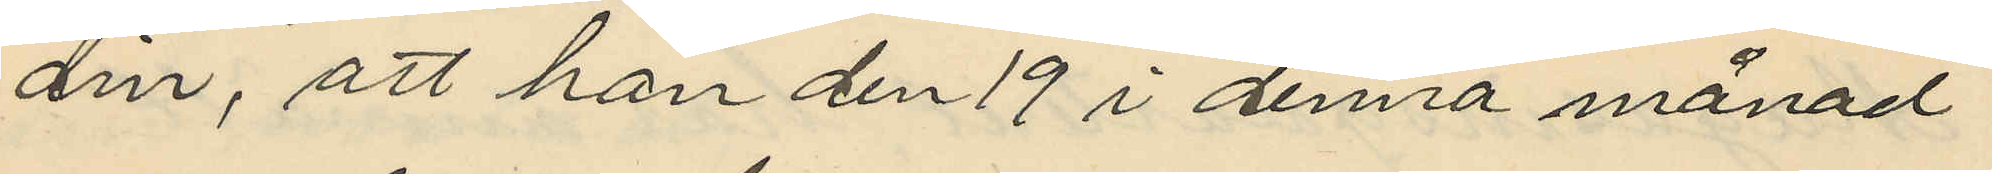din, att han den 19 i denna månad
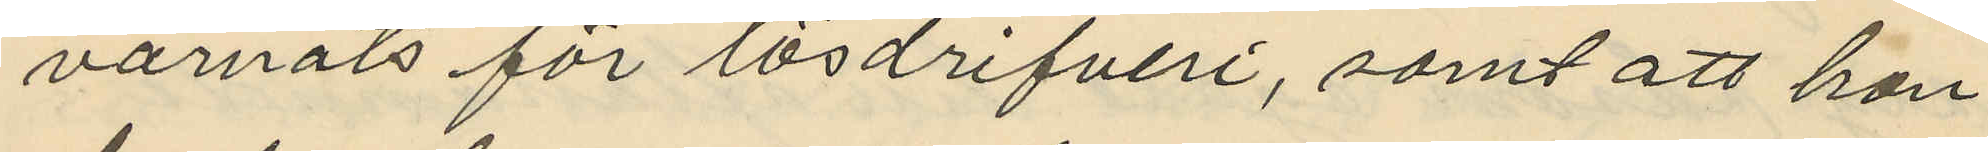varnats för lösdrifveri, samt att han
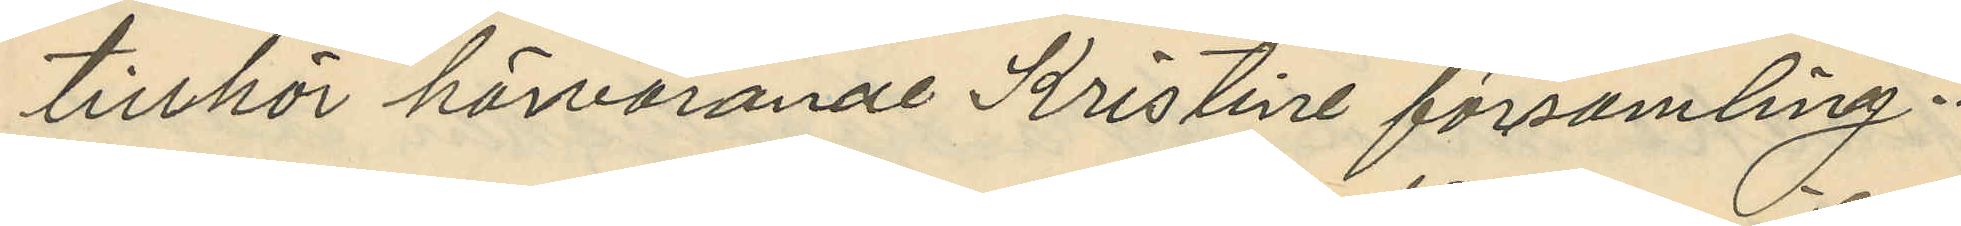tillhör härvarande Kristine församling.
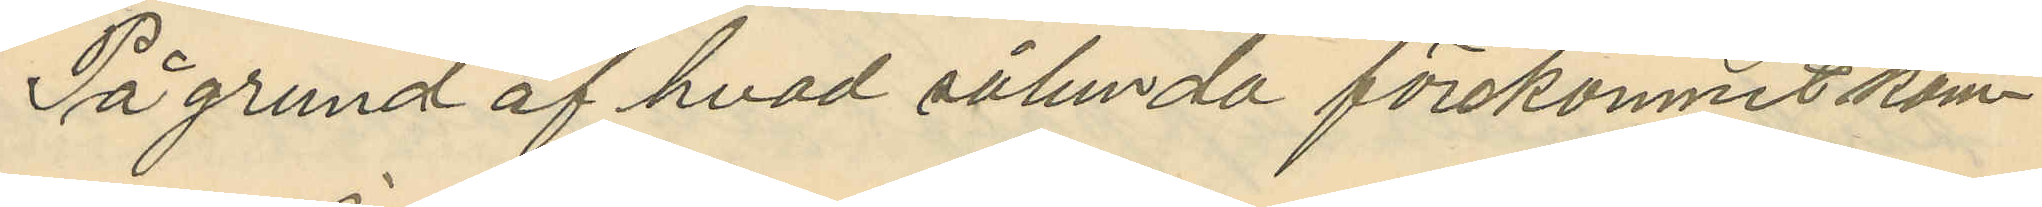På grund af hvad sålunda förekomnit kom¬
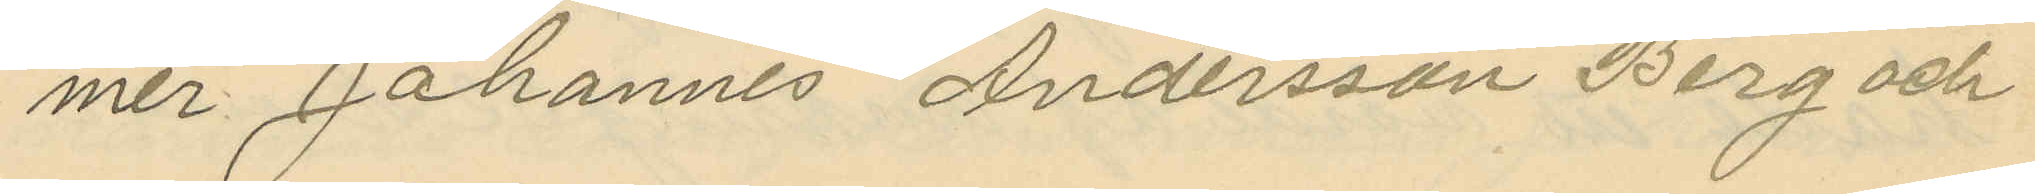mer Johannes Andersson Berg och
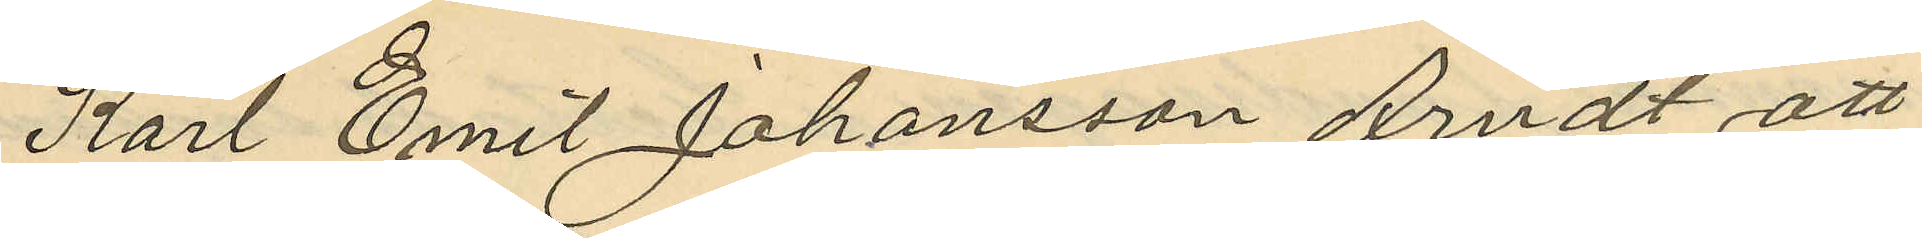Karl Emil Johansson Arndt att
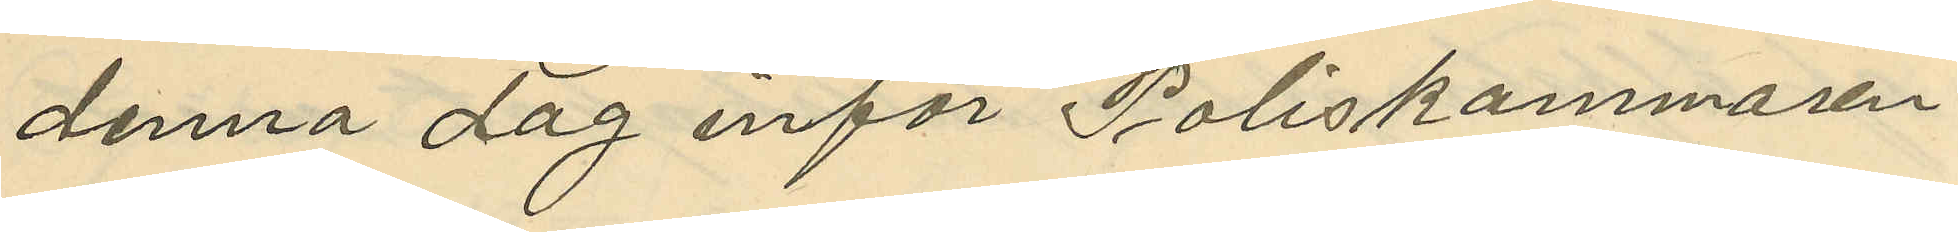denna dag inför Poliskammaren
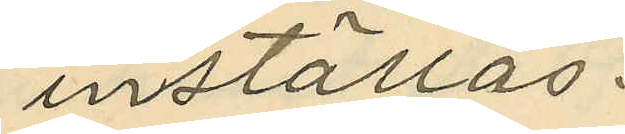inställas.
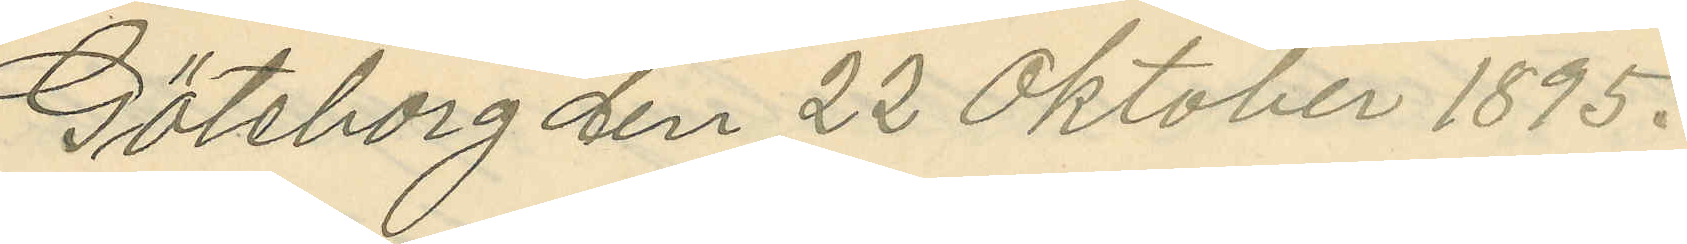Göteborg den 22 Oktober 1895.
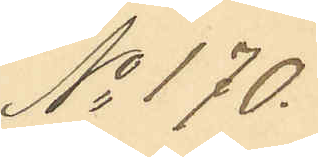No 170.
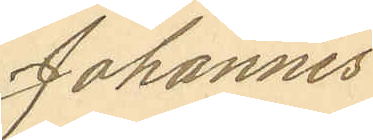Johannes
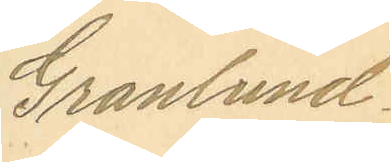Granlund
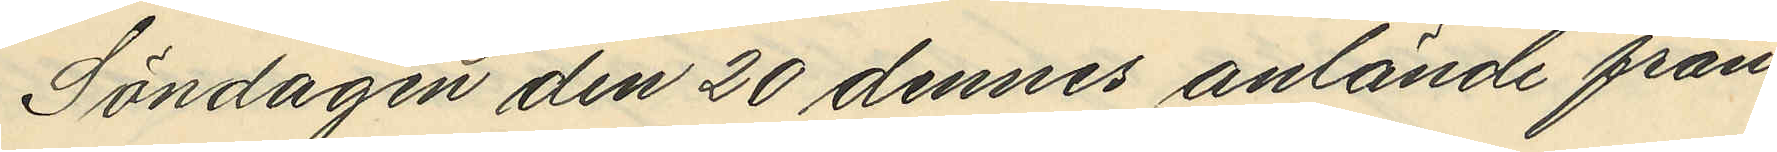Söndagen den 20 dennes anlände från
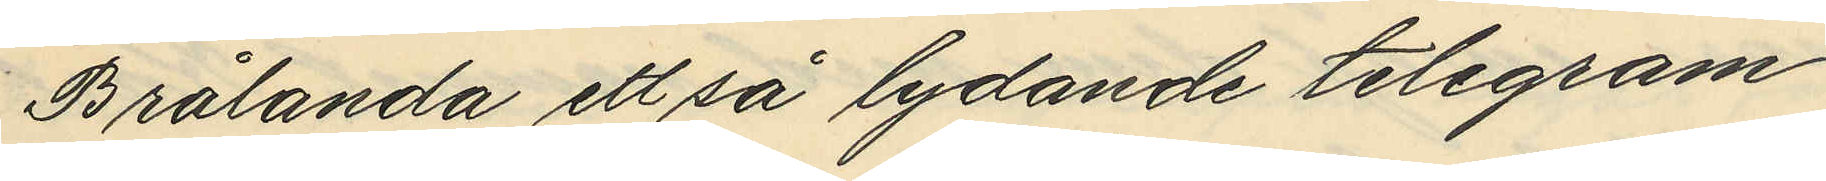Brålanda ett så lydande telegram
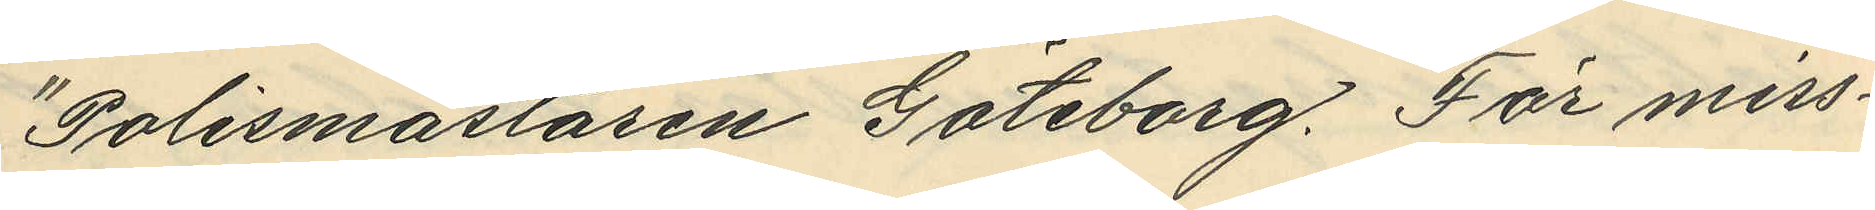Polismästaren Göteborg, För miss¬
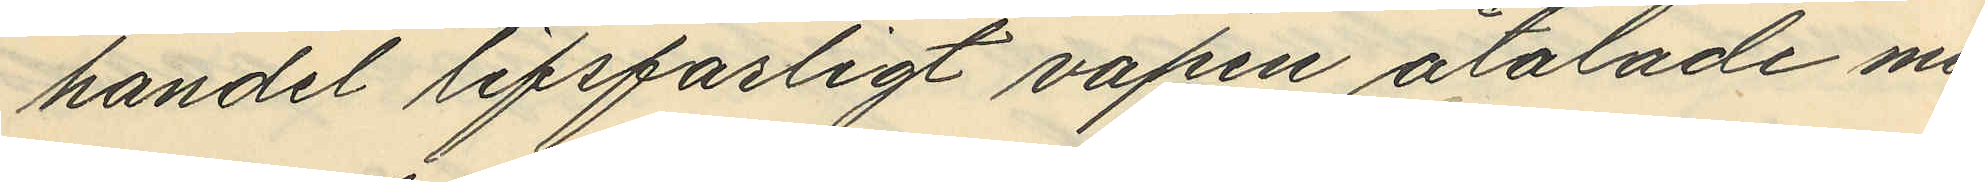handel lifsfarligt vapen åtalade mu¬
